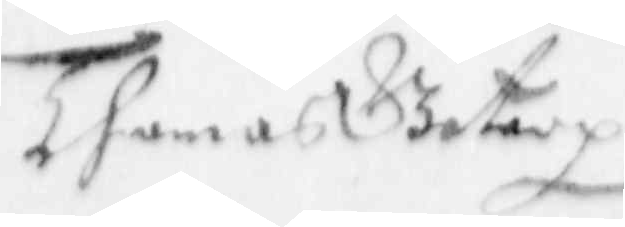Thomas Gotery
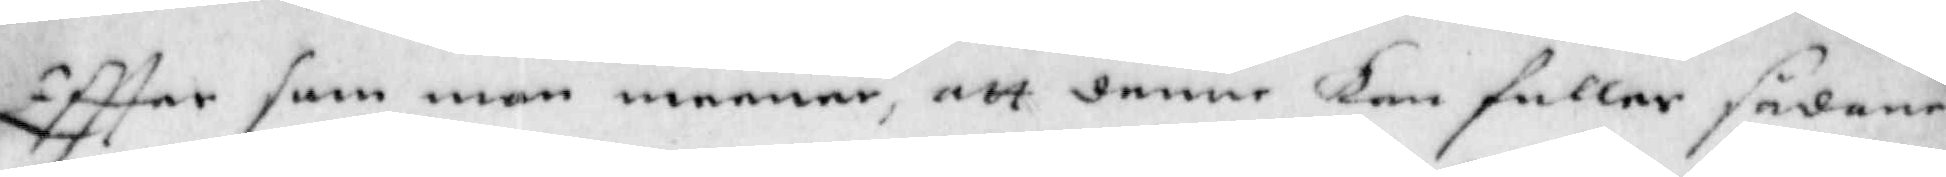Eftter som man menar, att denne kan fuller sådana
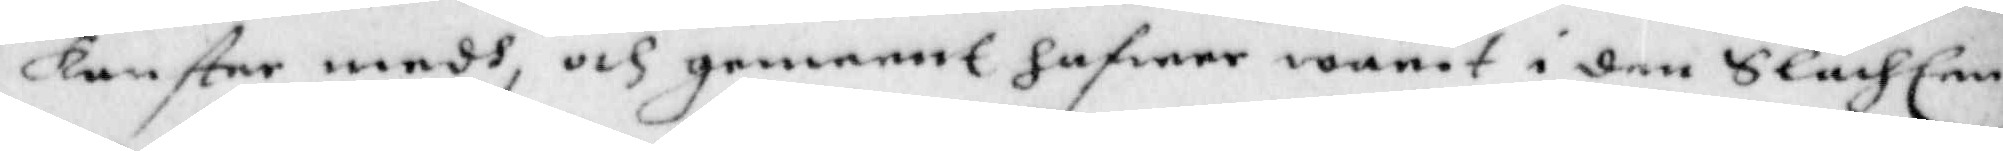konster medh, och gemennt hafwer warit i den Slächten
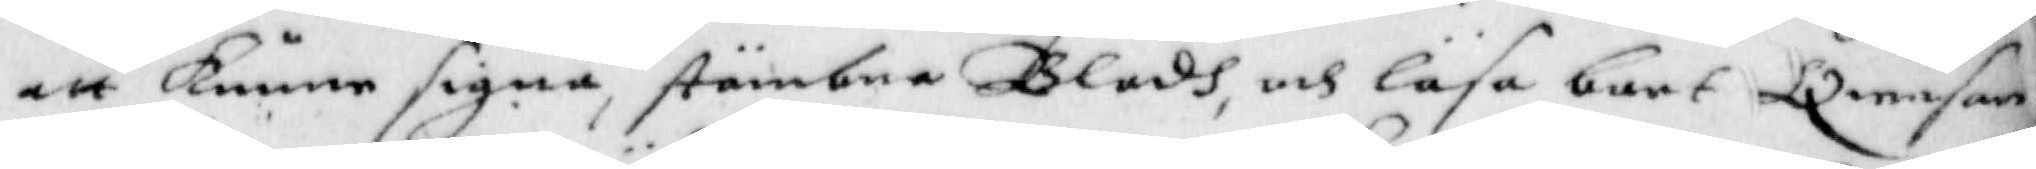att kunna signa, stämbne Blodh, och läsa bort Qwesan,
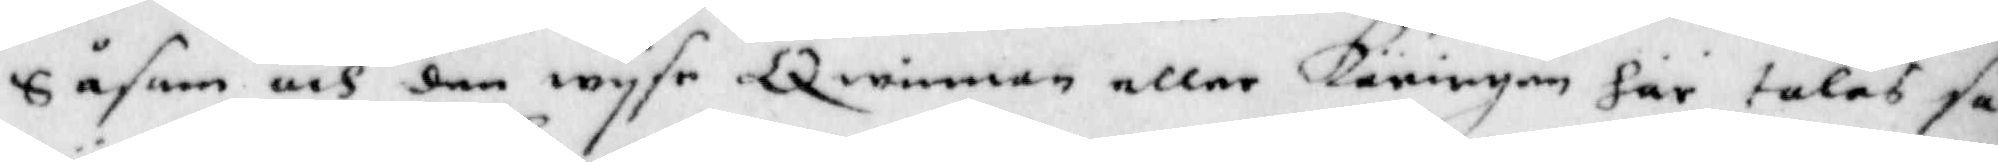Såsom och den wyse Qwinnan eller Käringen här talesså
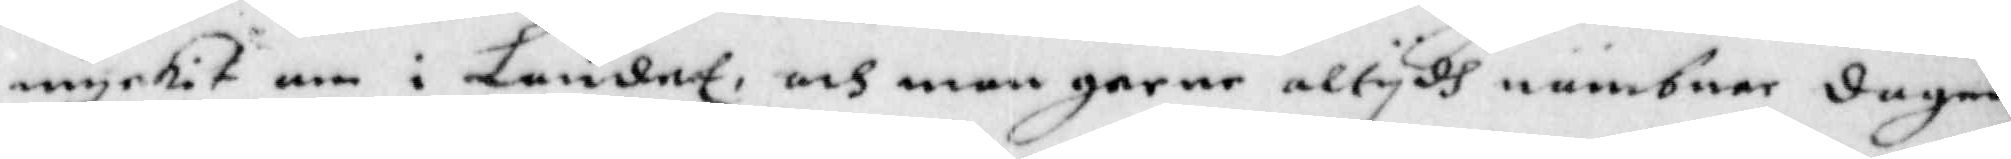myckit om i Landet, och man gerne altydh nämbnar dagen
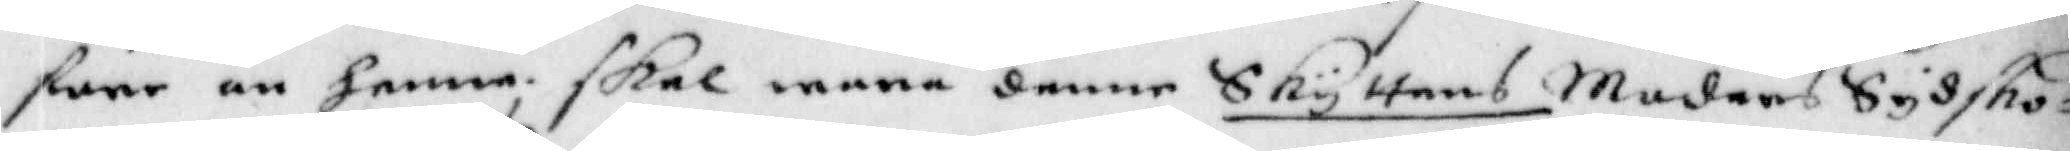före än henne; skal mana denne Skyttens Moders Syssko¬
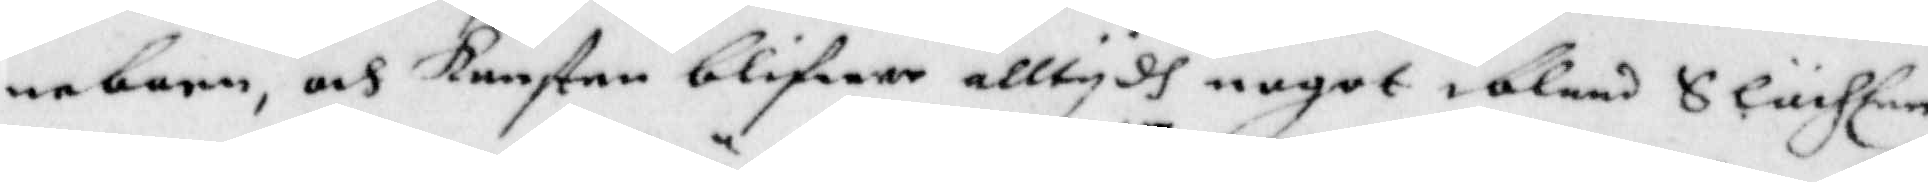nebarn, och konster blifwer alltydh nogot ibland Slächten
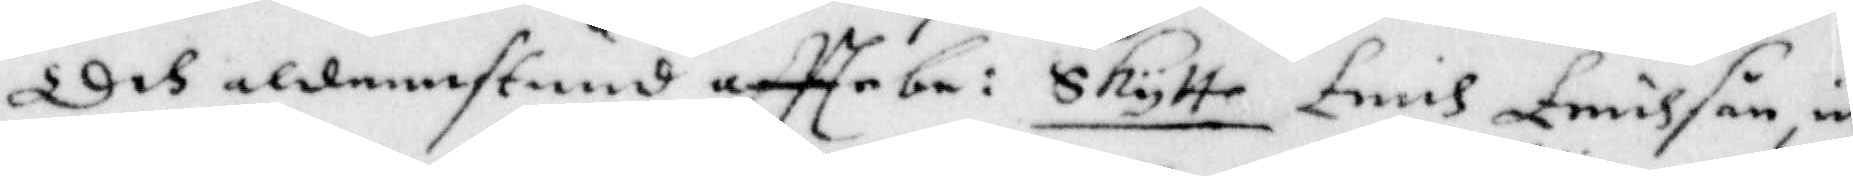Och aldenstund eftterbe:e Skytte Erich Erichson, in¬
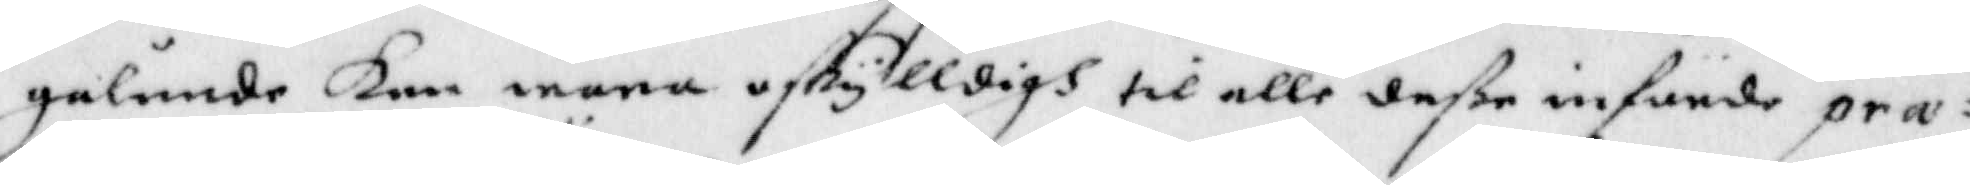galunde kan wara oskylldigh til alle deße infunde præ¬
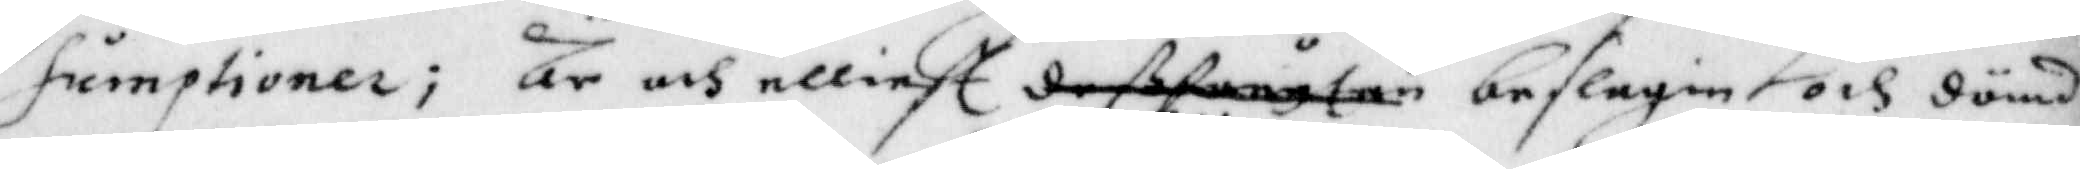sumptioner; är och elliest deßförutan beslagen och dömd
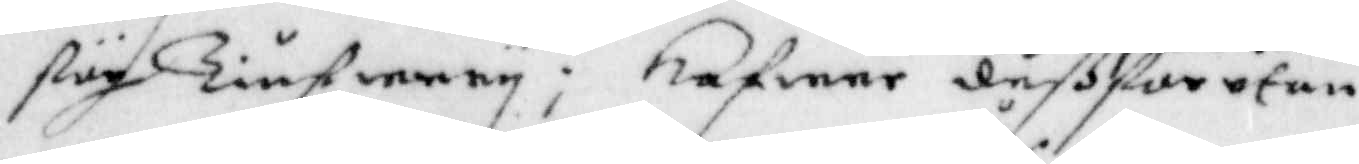för Tiufwery; hafwer deßförutan
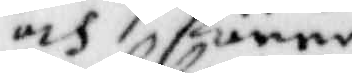och förre
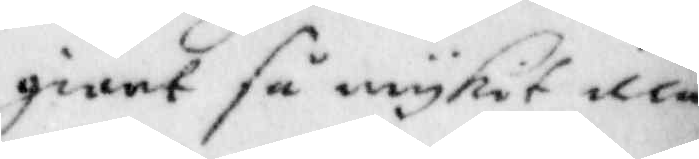giort så myckit illa
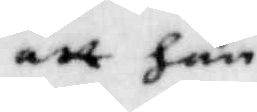att han
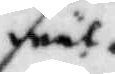wäl
